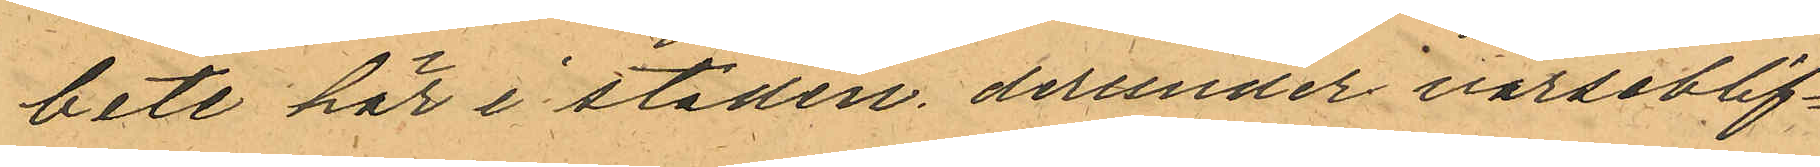bete här i staden derunder varseblif¬
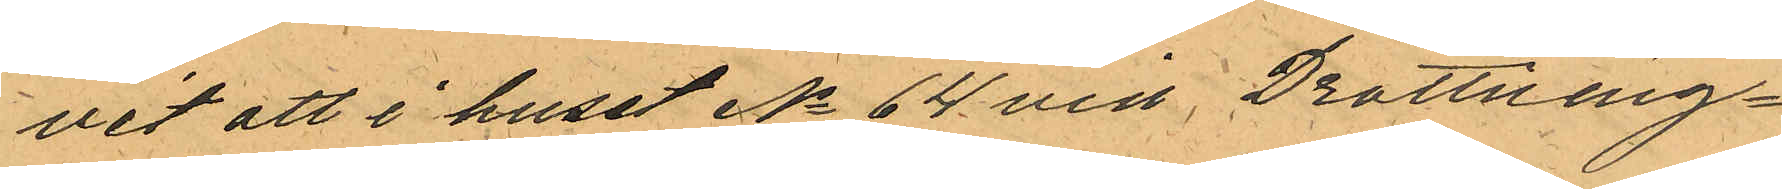vit att i huset No 64 vid Drottning¬
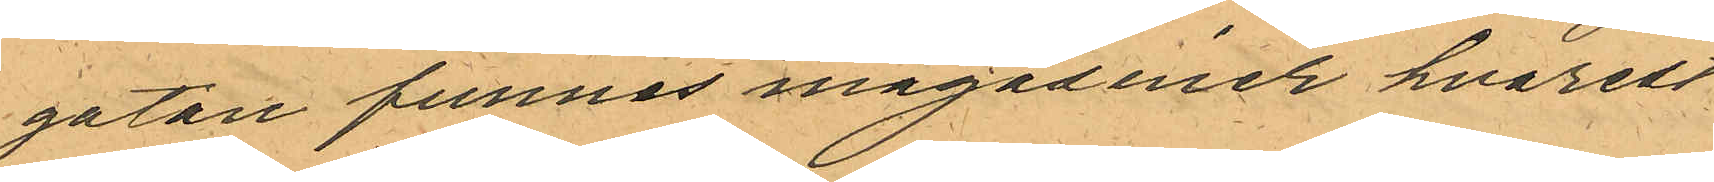gatan funnes magasiner hvarest
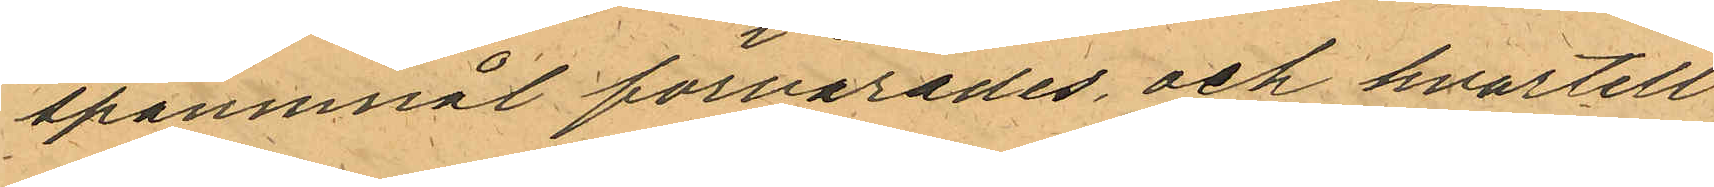spannnål förvarades och hvartill
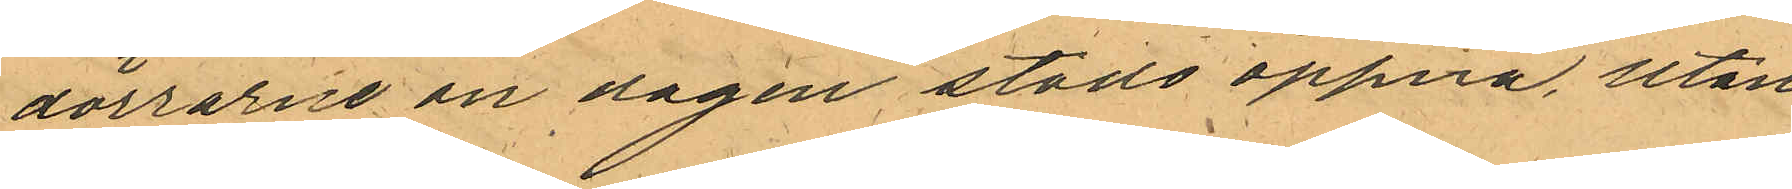dörrarne om dagen stodo öppna, utan
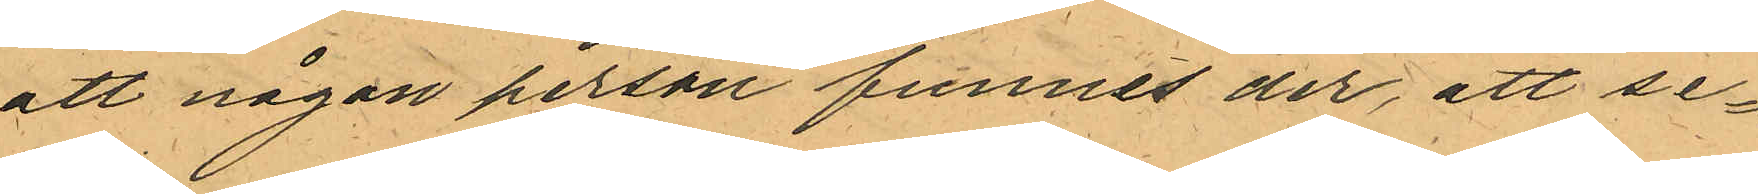att någon person funnes der, att se¬
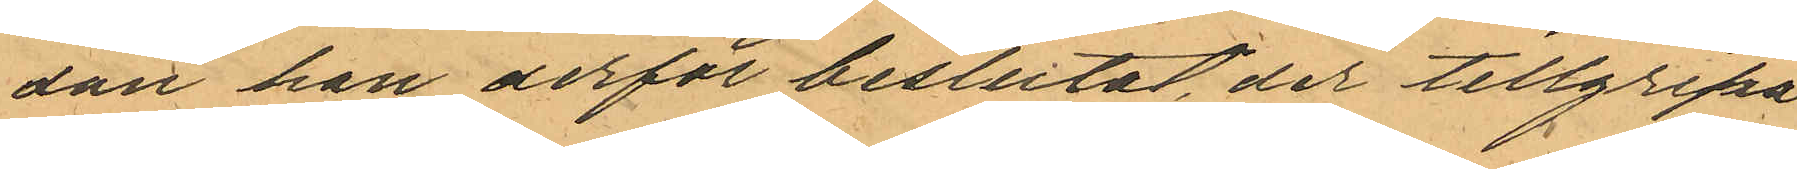dan han derför beslutat, der tillgripa
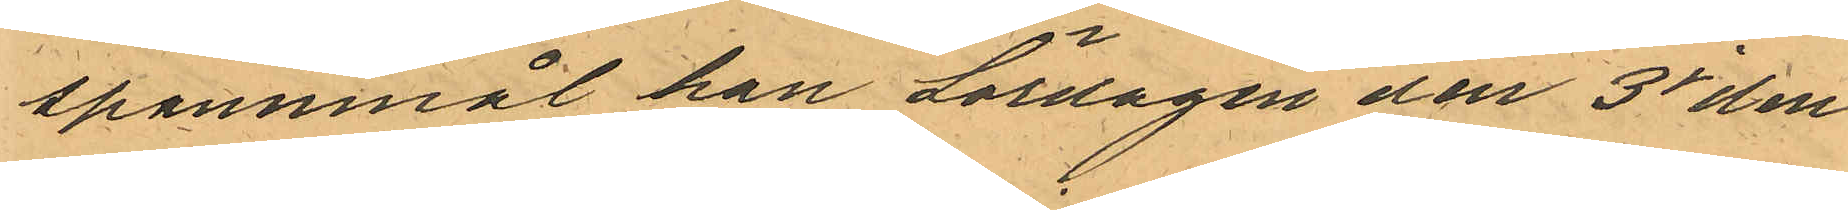spannmål han Lördagen den 3 i den¬
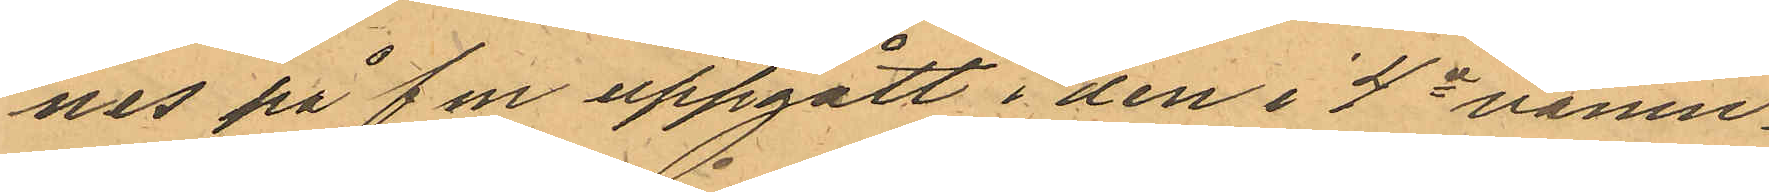nes på f m uppgått i den i 4e vånin¬
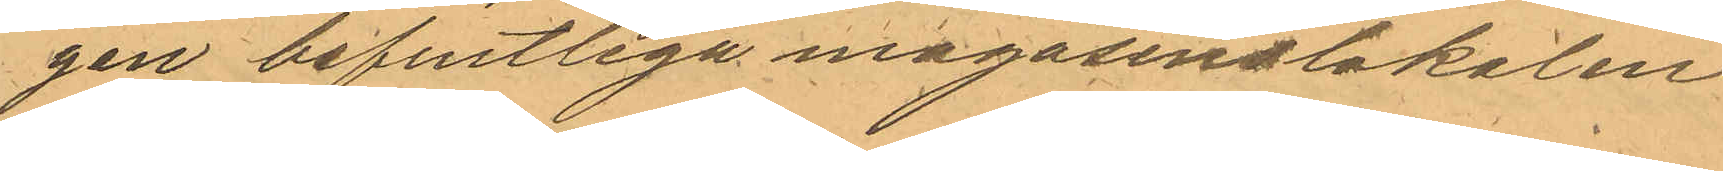gen befintliga magasinslokalen
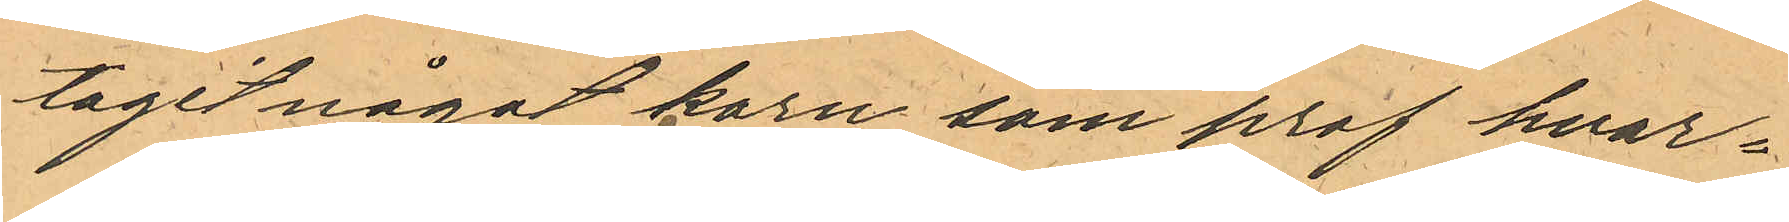tagit något korn som prof hvar¬
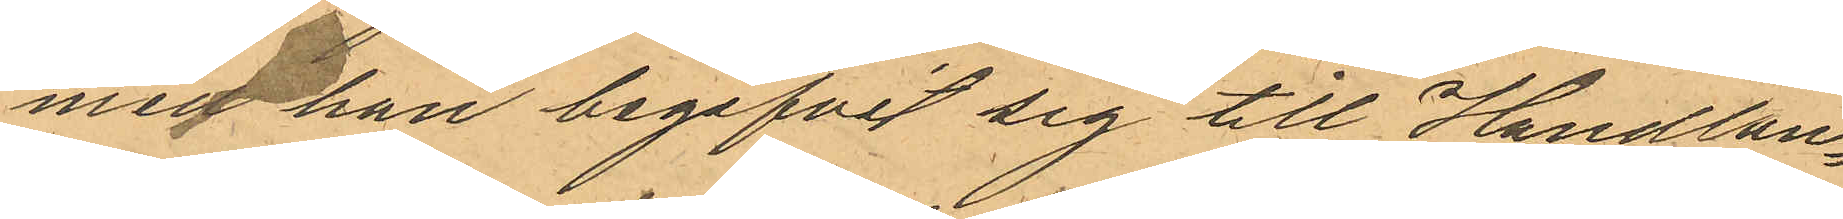med han begifvit sig till Handlan¬
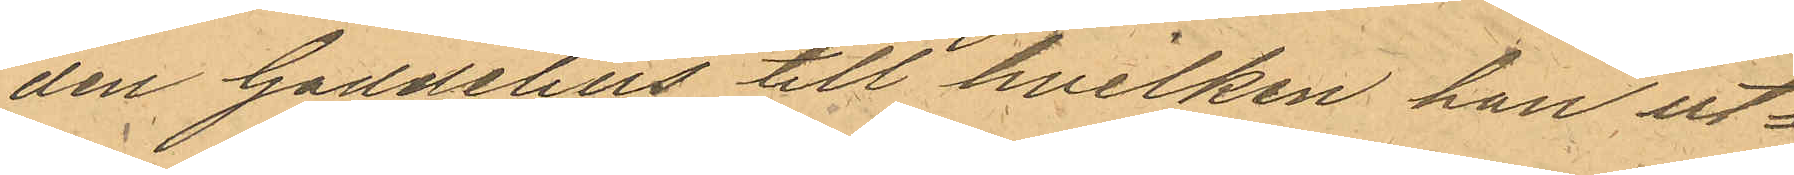den Gaddelius till hvilken han ut¬
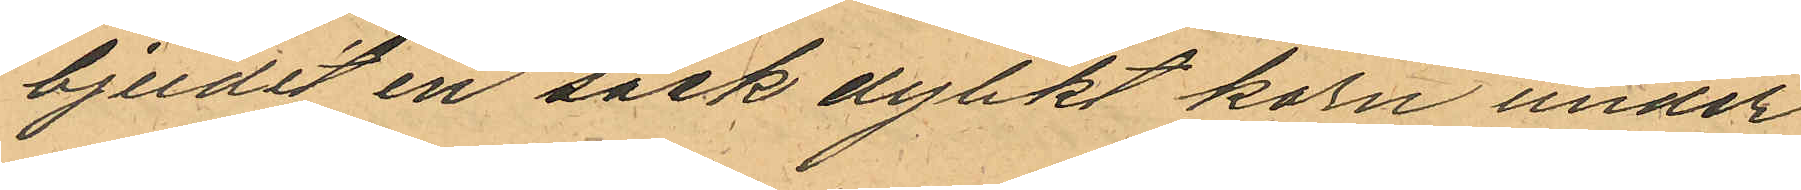bjudit en säck dylikt korn under
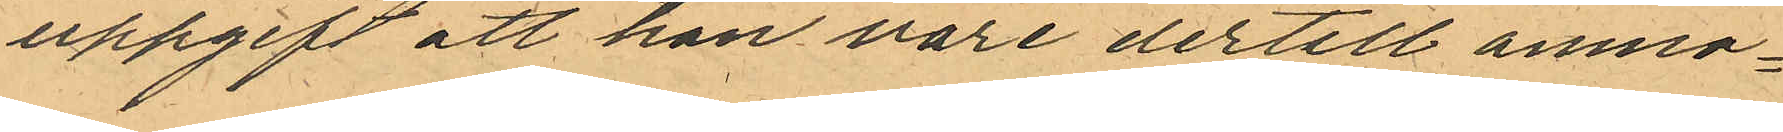uppgift att han vore dertill anmo¬
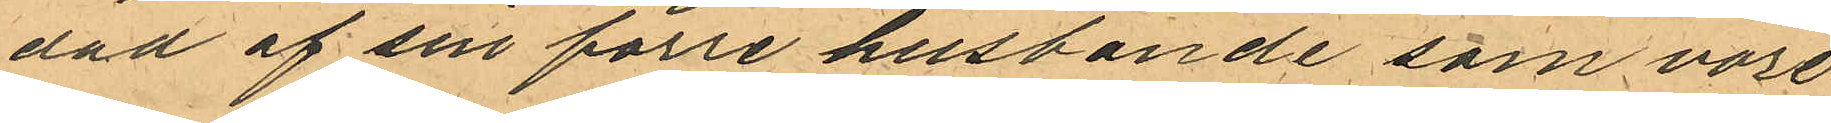dad af sin förre husbonde som vore
